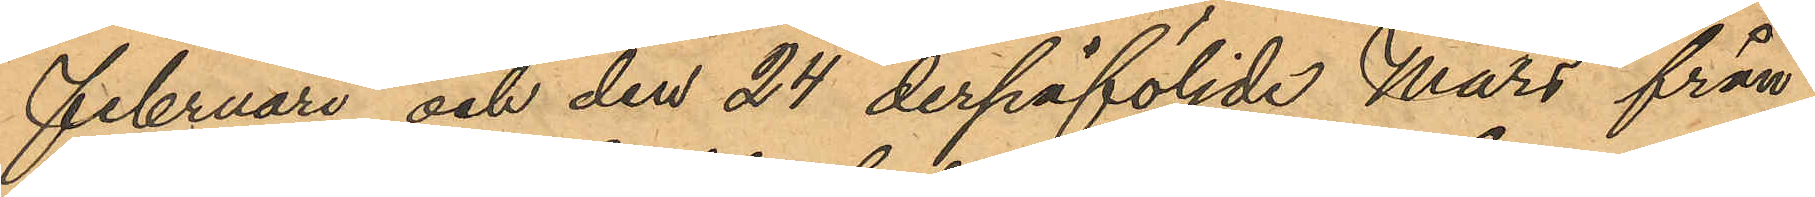Februari och den 24 derpåföljde Mars från
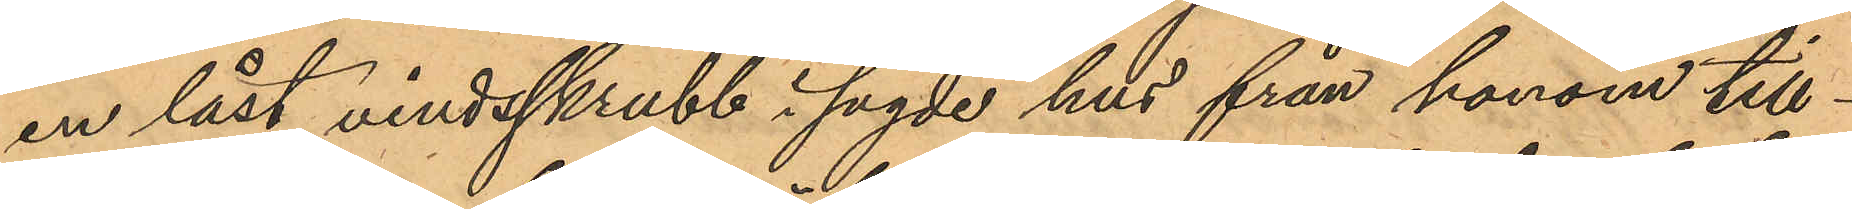en låst vindsskrubb i sagde hus från honom till¬
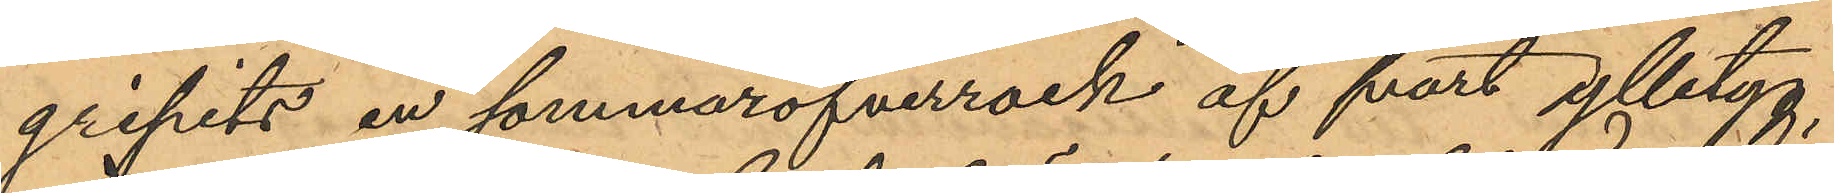gripits en sommaröfverrock af svart ylletyg,
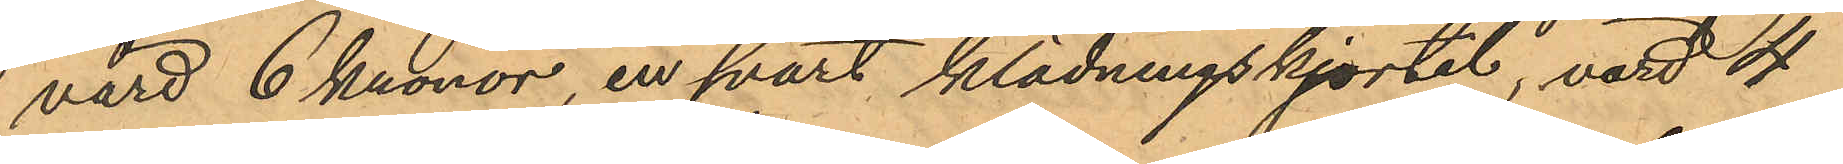värd 6 kronor, en svart klädningskjortel, värd 4
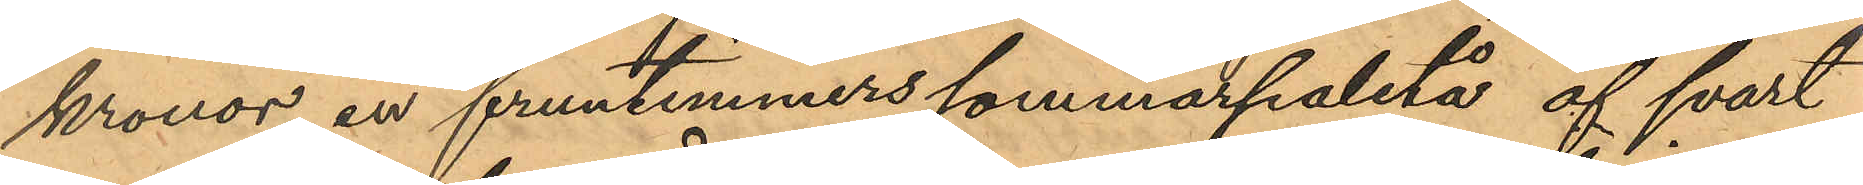kronor, en fruntimmerssommarpaletå af svart
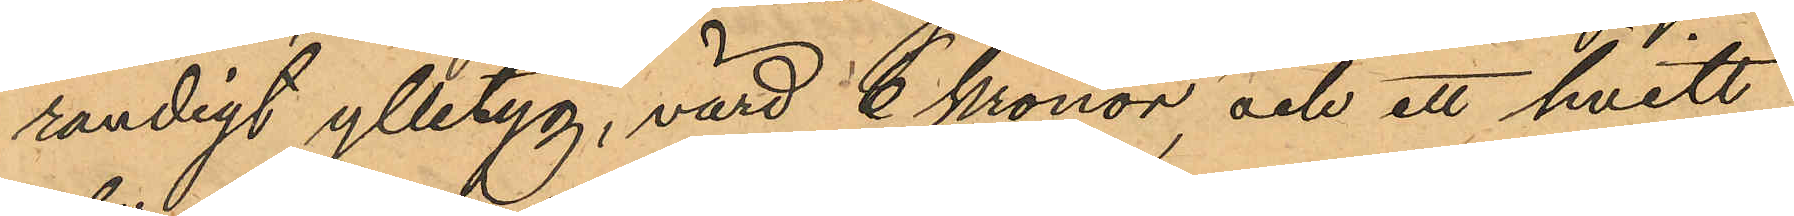randigt ylletyg, värd 6 kronor, och ett hvitt
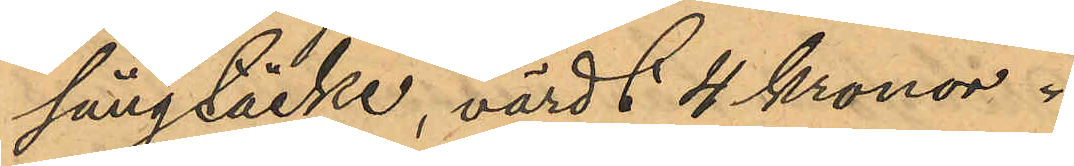sängtäcke, värdt 4 Kronor.
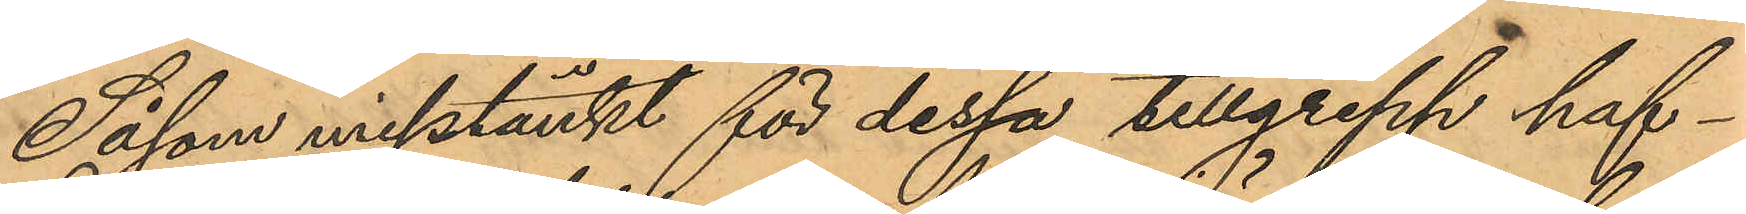Såsom misstänkt för dessa tillgrepp haf¬
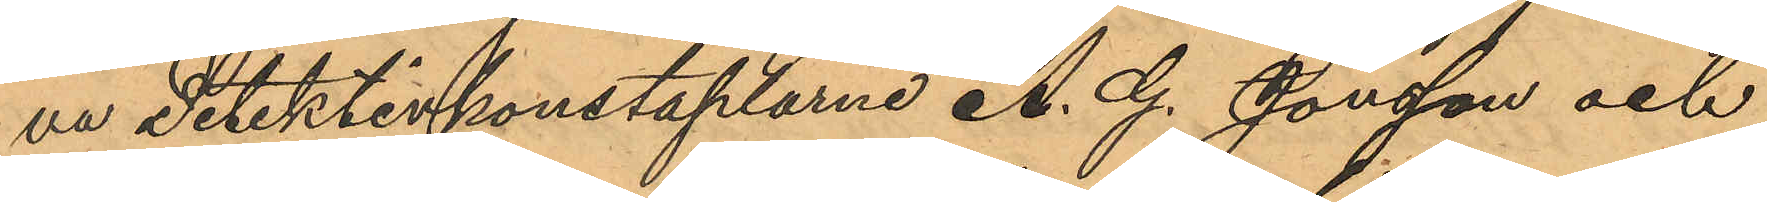va Detektivkonstaplarne A. G. Jonsson och
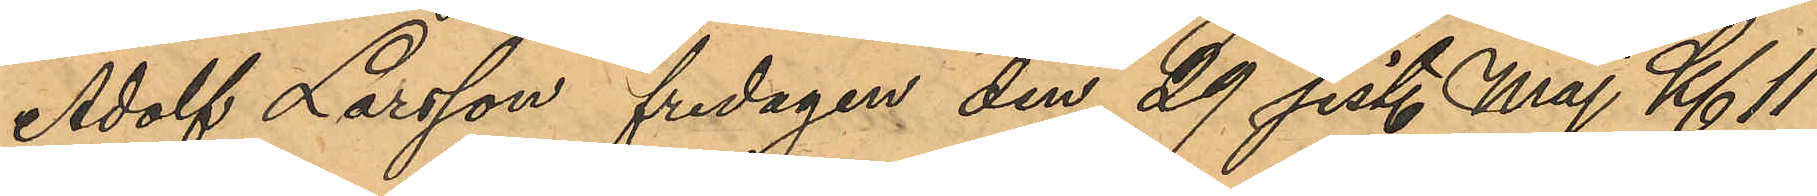Adolf Larsson fredagen den 29 sist. Maj Kl. 11
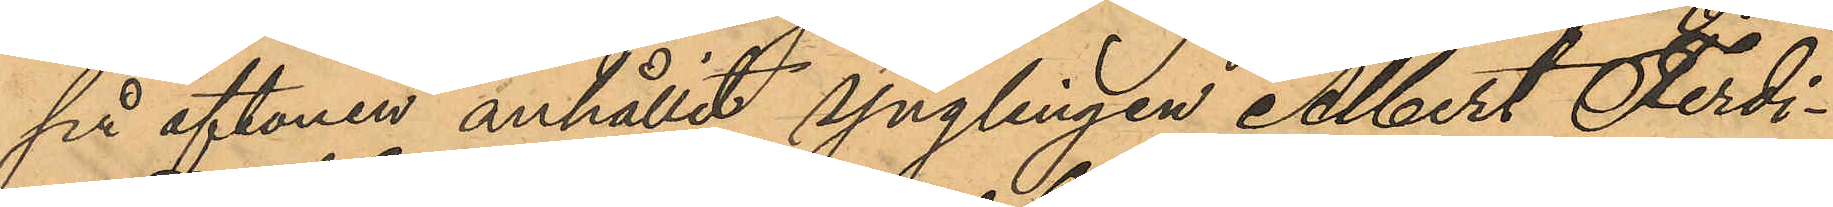på aftonen anhållit ynglingen Albert Ferdi¬
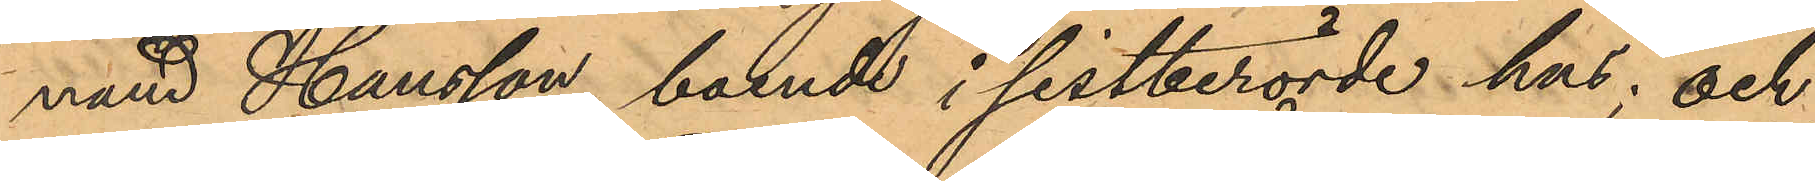nand Hansson, boende i sistberörde hus; och
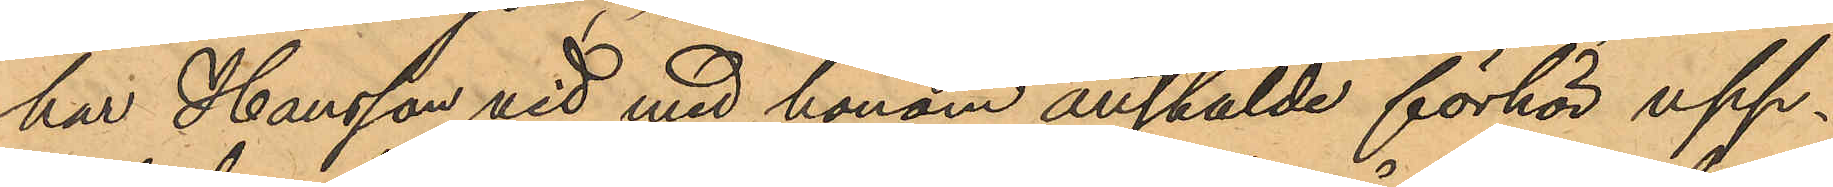har Hansson vid med honom anstälde förhör upp¬
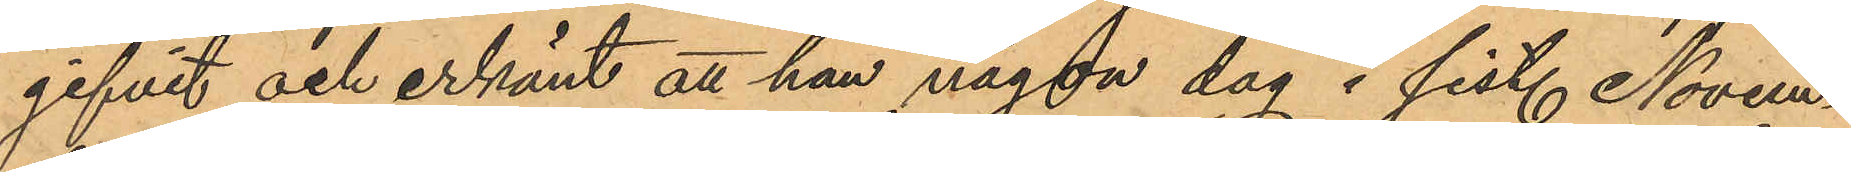gifvit och erkänt att han någon dag i sist. Novem¬
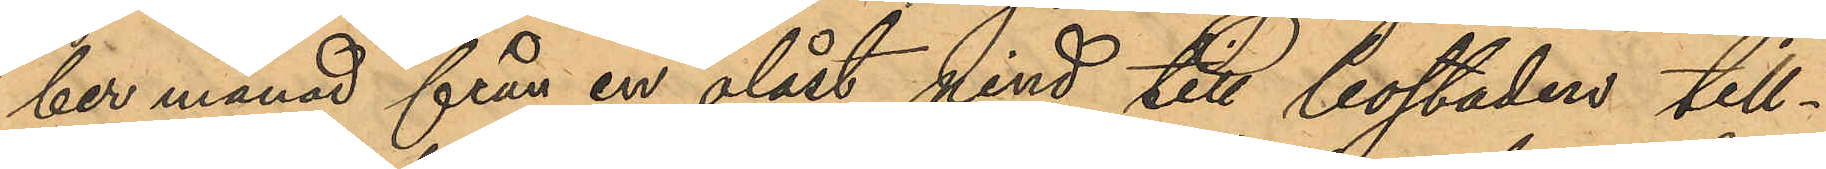ber månad från en olåst vind till bostaden till¬
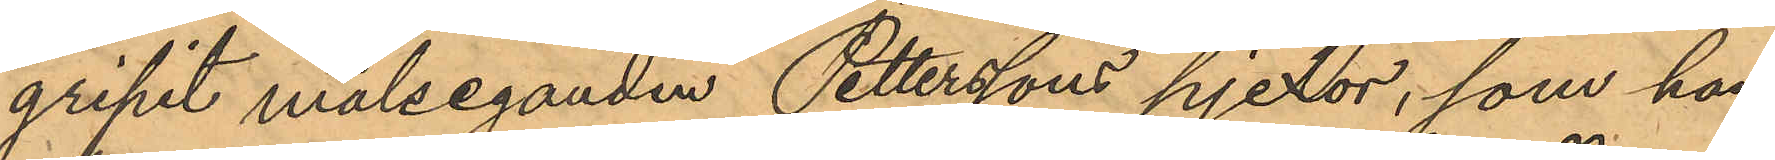gripit målseganden Petterssons pjexor, som han
